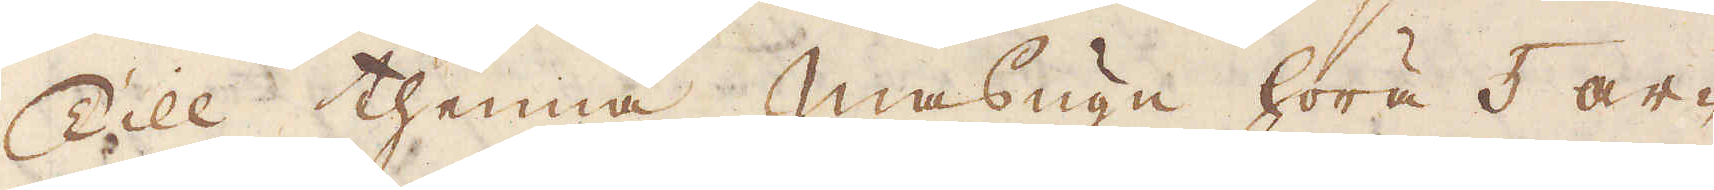Till thenna masugn höra 5 ar-
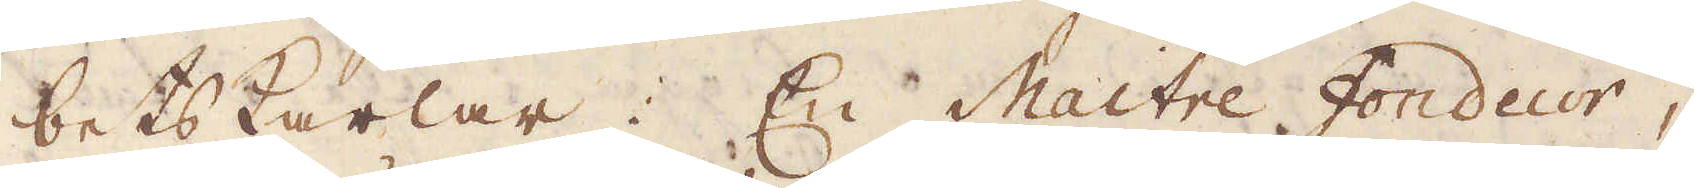betskarlar: En Maitre fondeur,
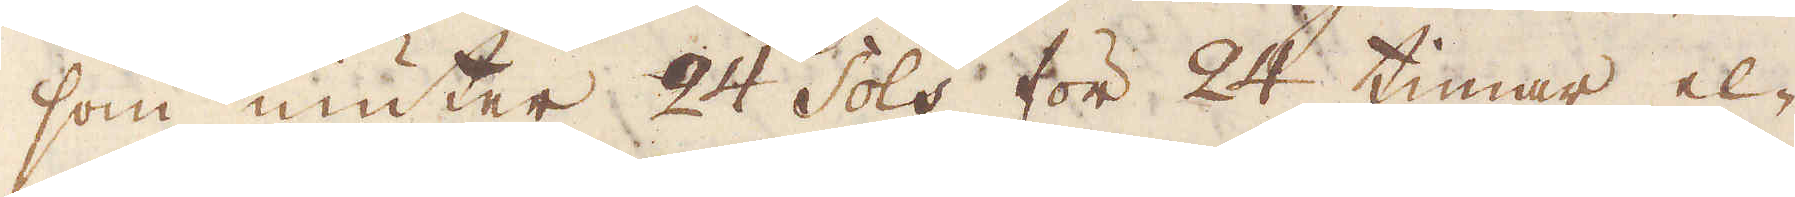som niuter 24 sols för 24 timar el-
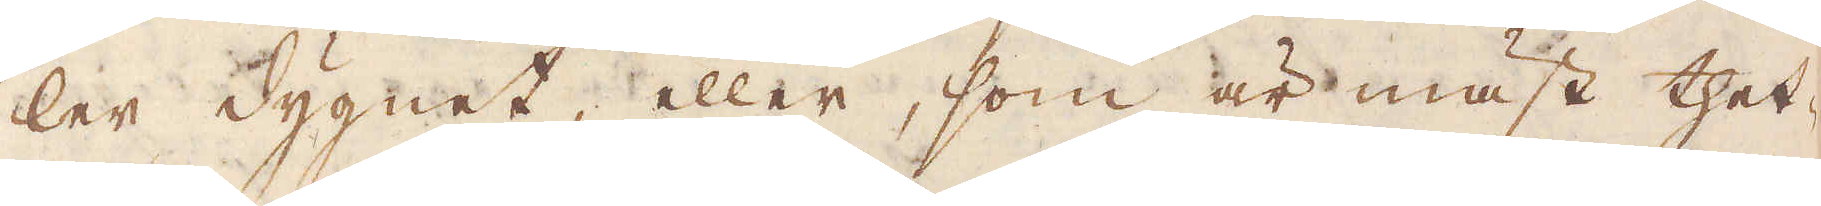ler dygnet, eller, som är mäst thet-
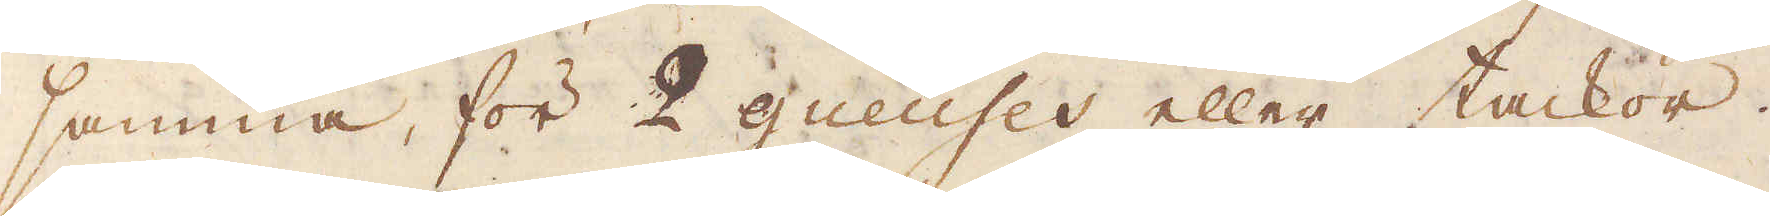samma, för 2 gueuser eller tackor.
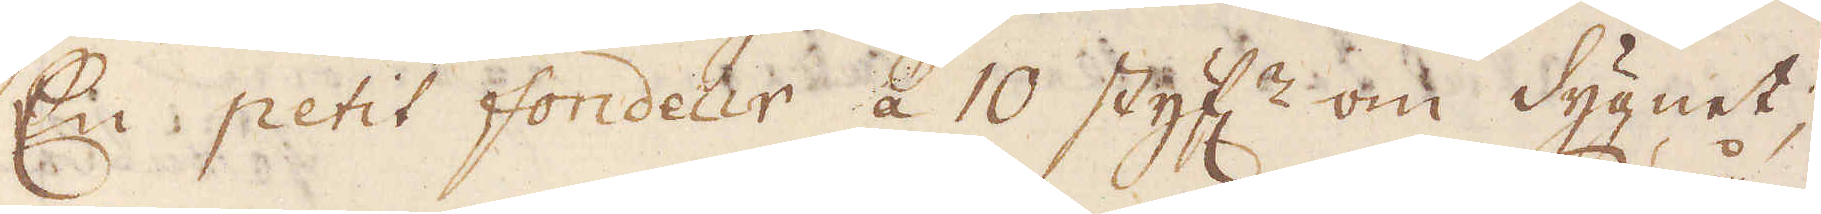En petit fondeur à 10 styf:r om dygnet;
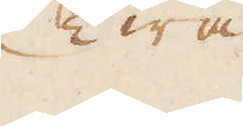Twå
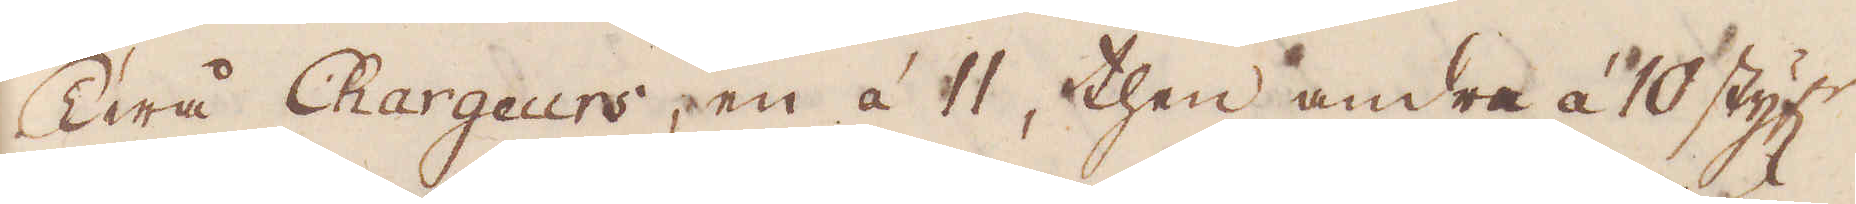Twå Chargeurs, en à 11, then andra à 10 styf:r
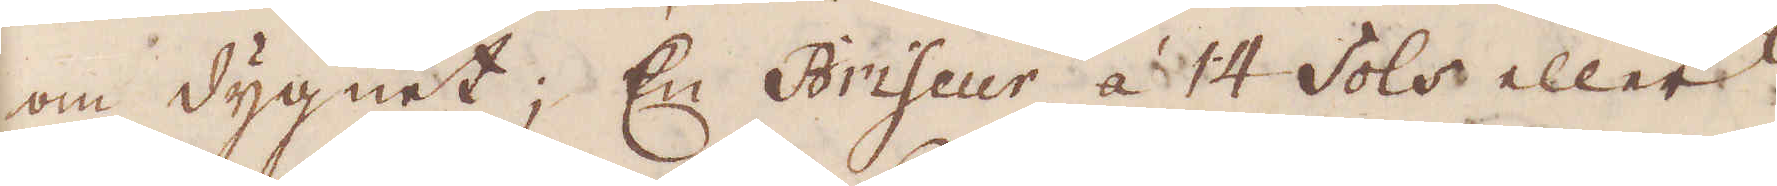om dygnet; En Briseur à 14 sols eller
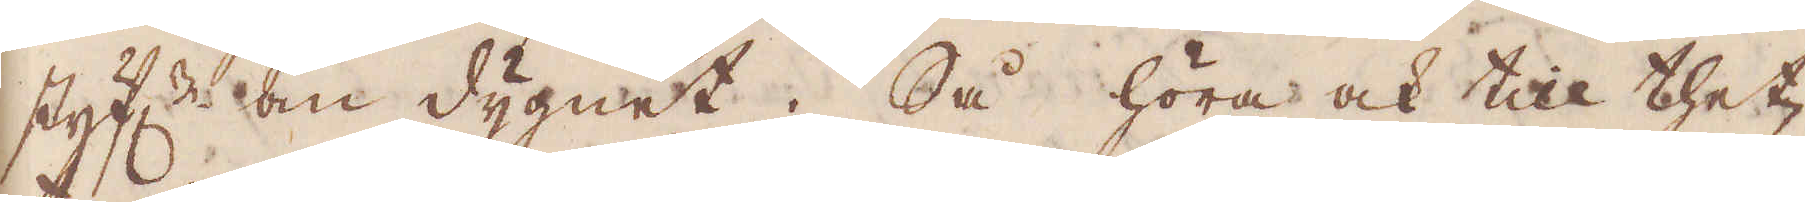styf:r om dygnet. Så höra ock till thet-
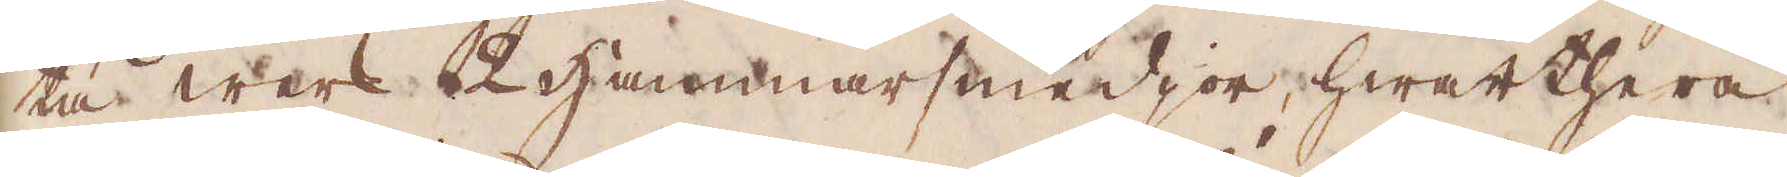ta werk 2 hammarsmedjor, hwarthera
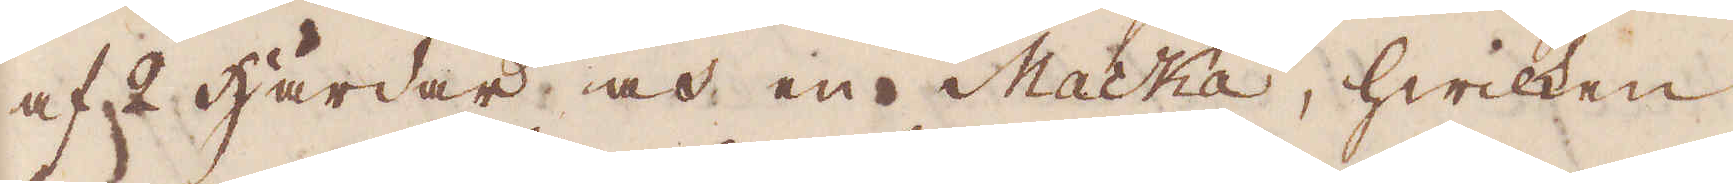af 2 härdar och en Mackáa, hwilken
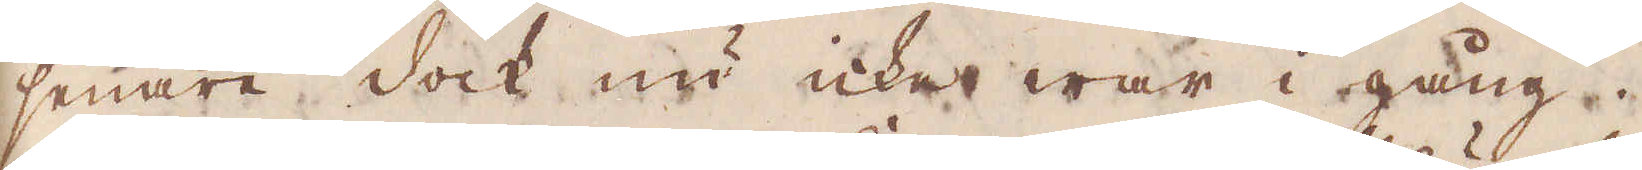senare dock nu icke war i gång. 
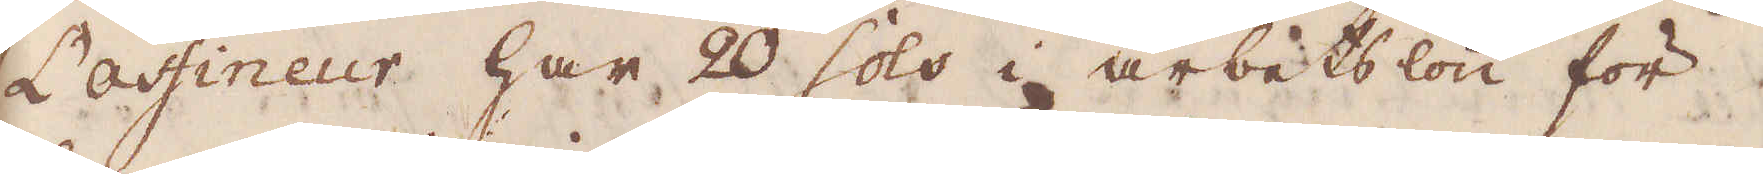Lasfineur har 20 sols i arbetslön för
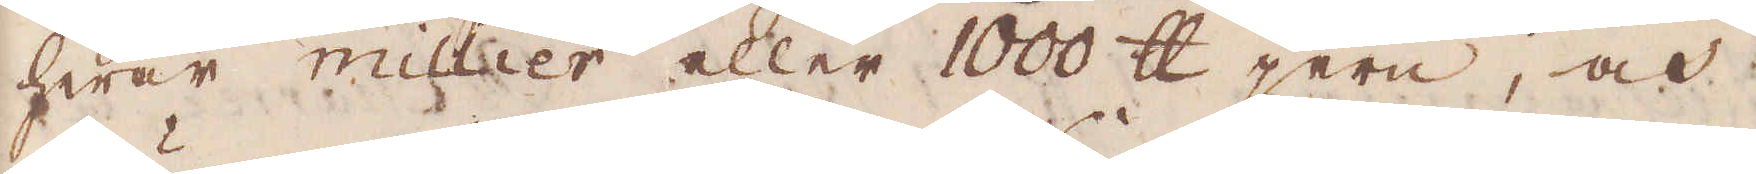hwar millier eller 1000 skålpund jern, och
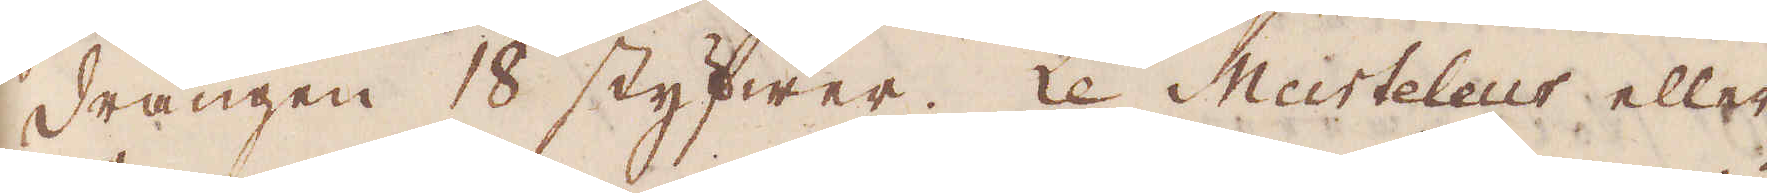drängen 18 styfwer. Le Murteleur eller
